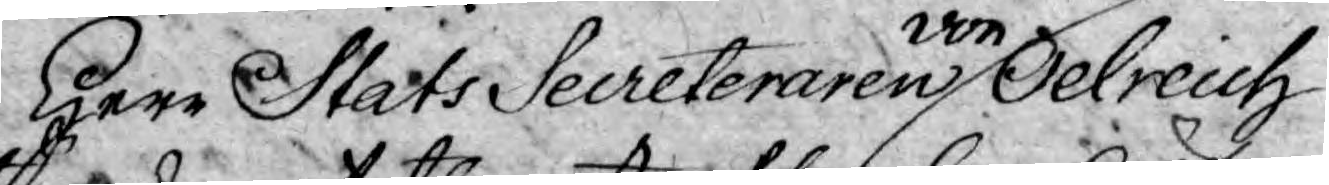Herr Stats Secreteraren von Oelreich
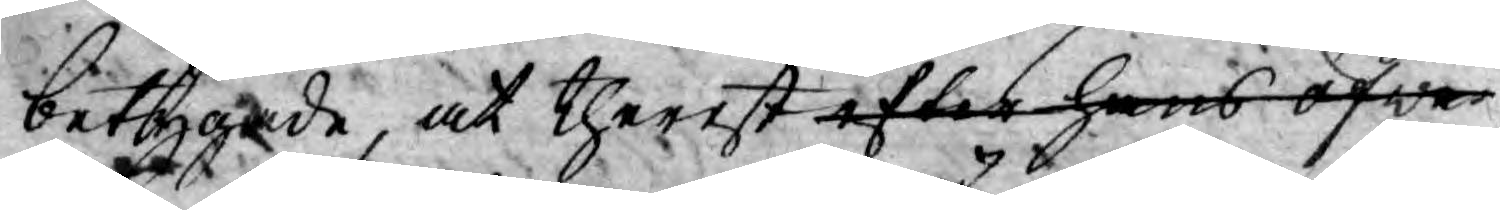betygade, at therest efter hans öfwer
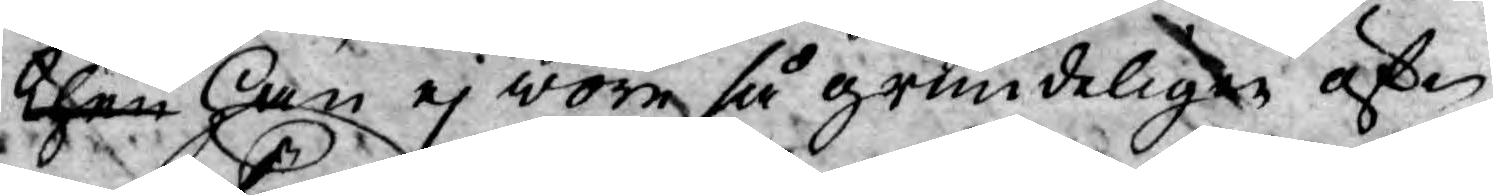then han ej wore så grundeligen öf¬
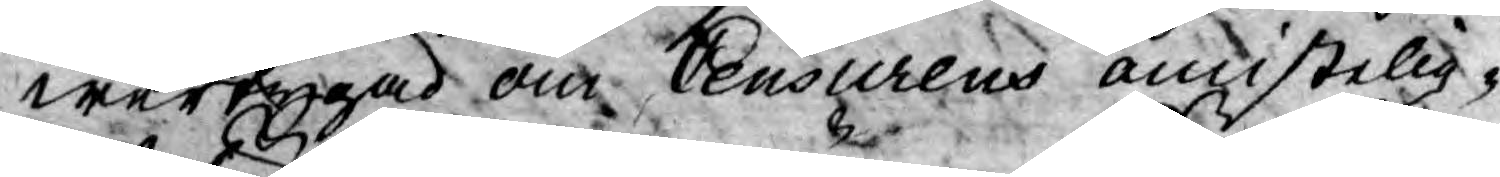wertygad om Ceusurens omistelig¬
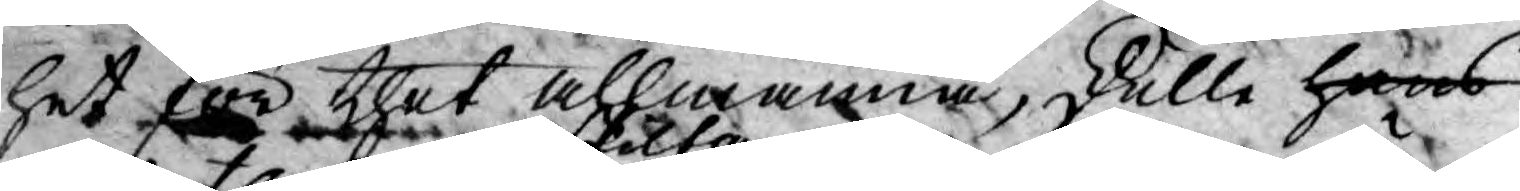het för thet allmänna, skulle hans
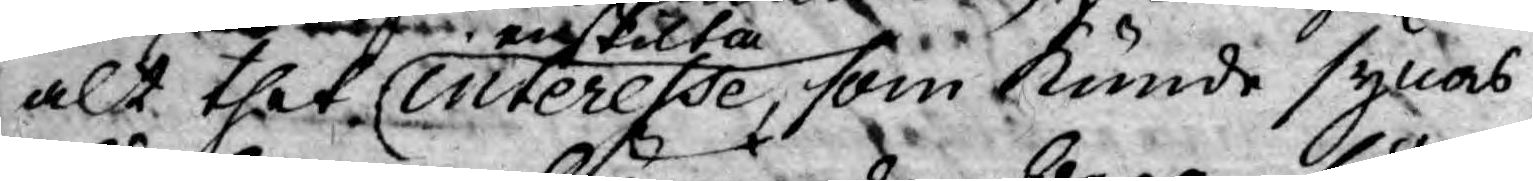alt thet enskilta interesse, som kunde synas 
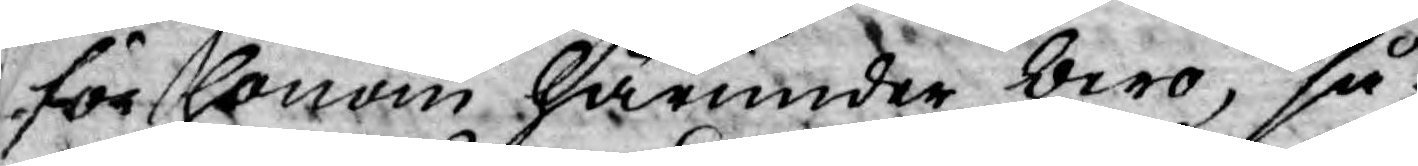för honom härunder bero, så
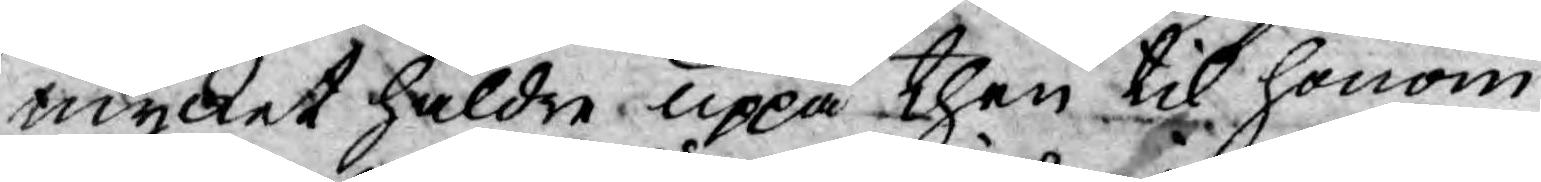mycket häldre uppå then til honom
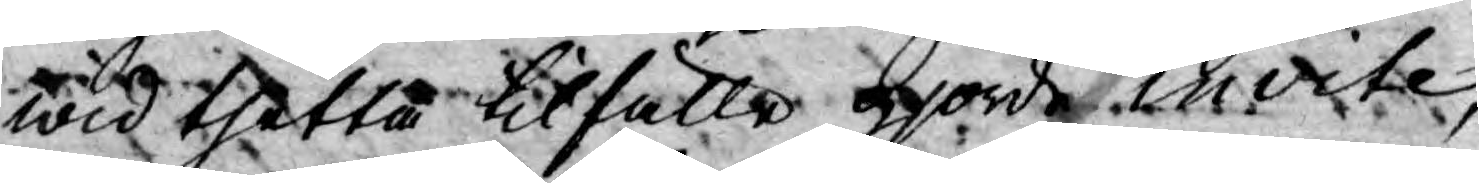wid thetta tilfälle gjorde invite,
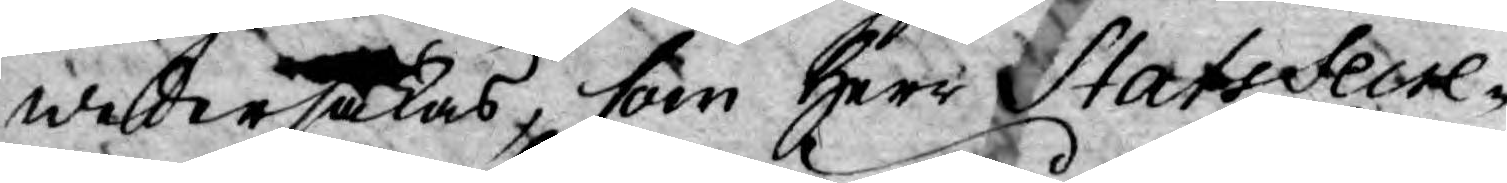wedersakas, som Herr StatsSecre¬
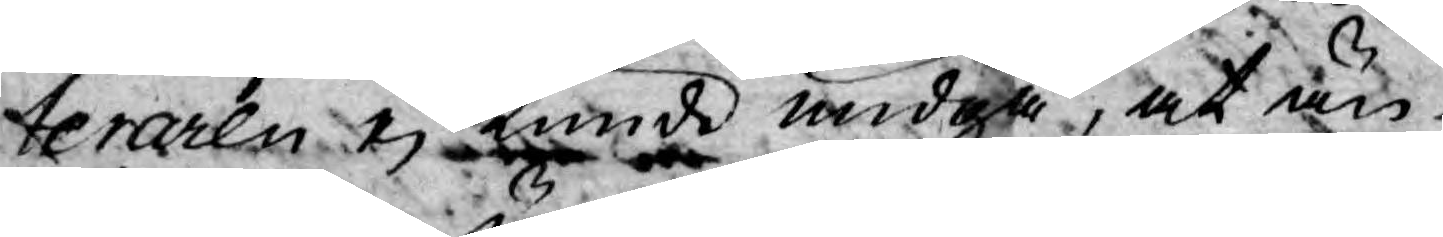teraren ej kunde widgå, at än
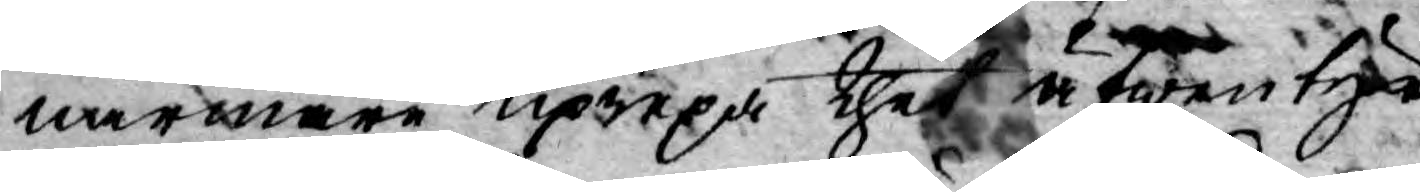närmare uprepa thet äfwentyr
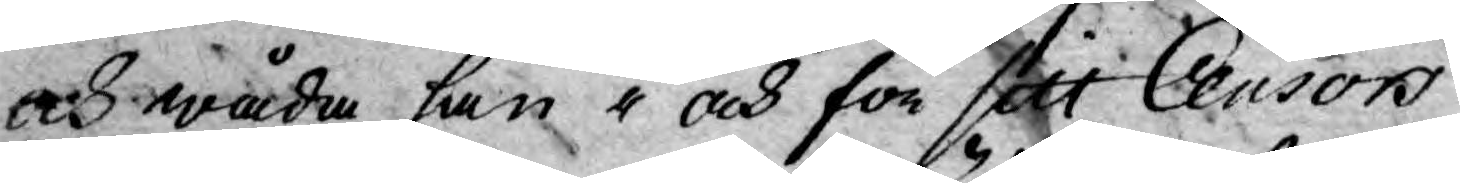och wåda han i och för sitt Censors
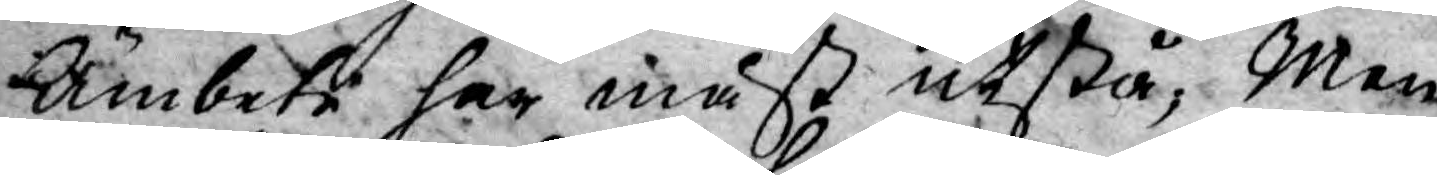Ämbete har måst utstå; Men
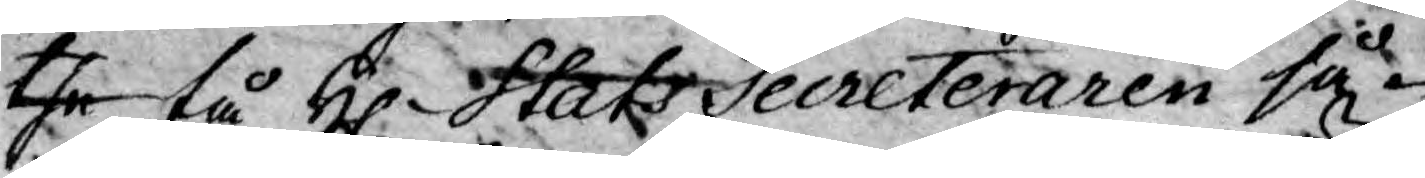the tå H. StatsSecreteraren så¬
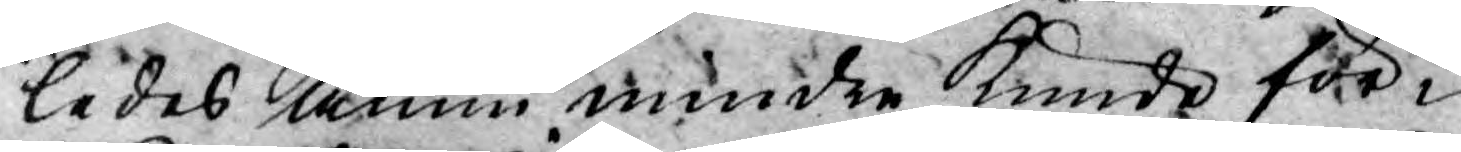ledes ännu mindre kunde för¬
